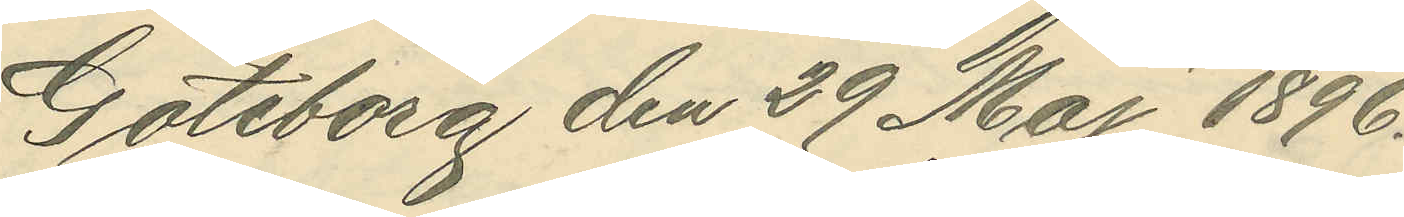Göteborg den 29 Maj 1896.
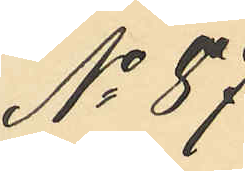No 87
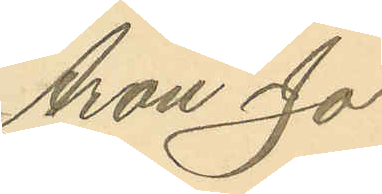Aron Jo¬
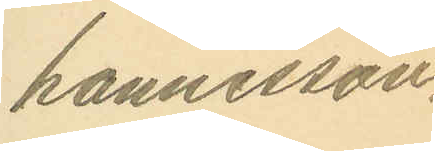hannesson.
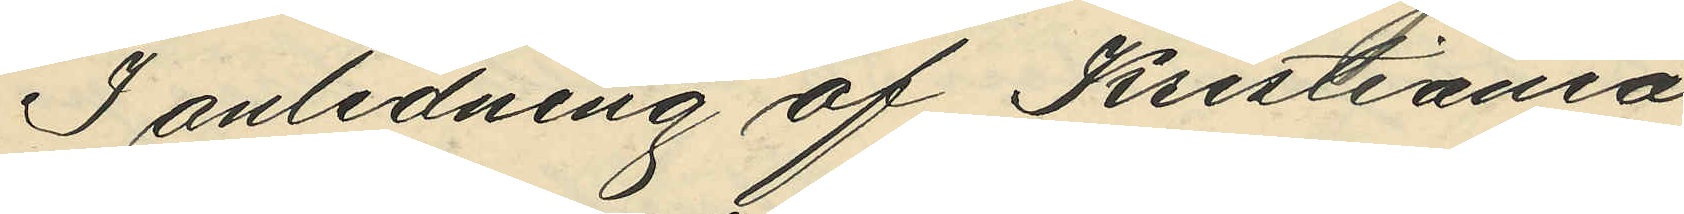I anledning af Kristiania
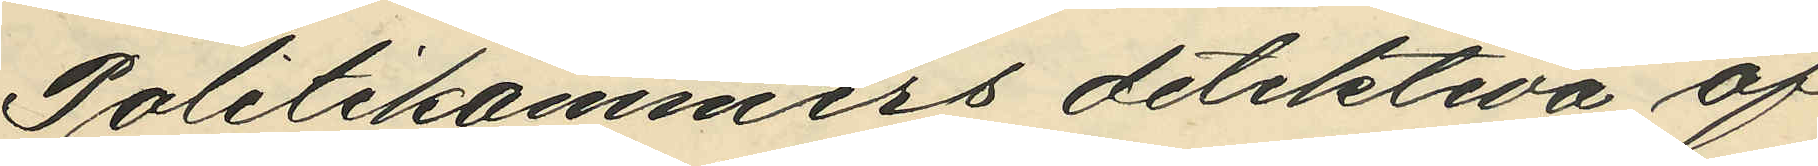Politikammers detektiva af¬
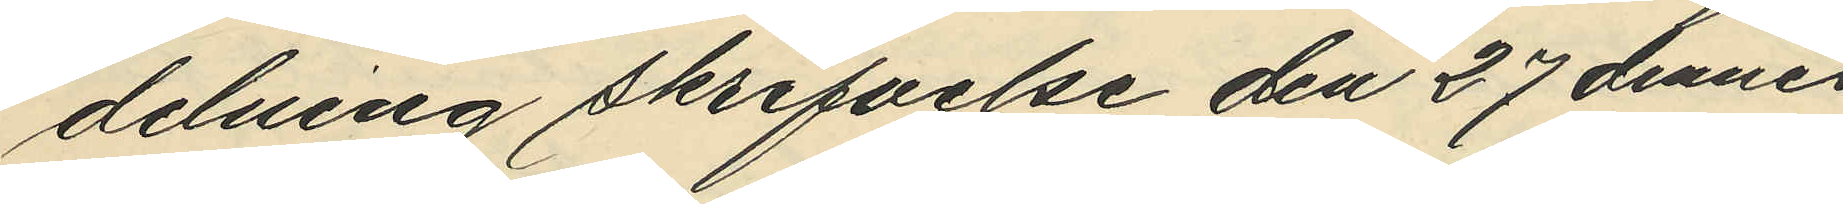delning skrifvelse den 27 dennes
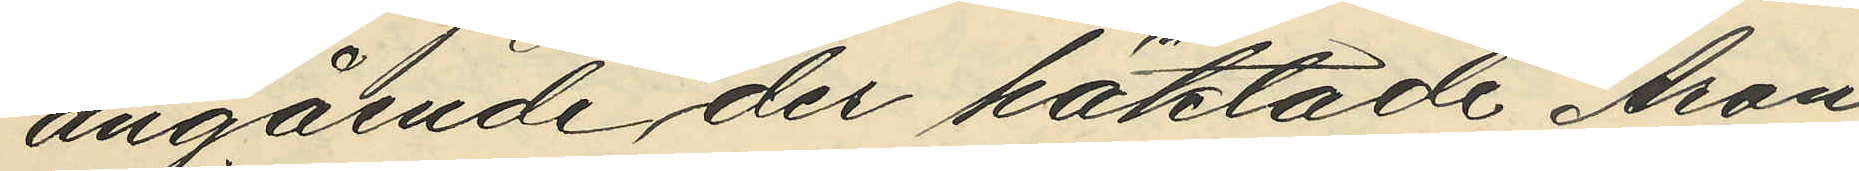angående der häktade Aron
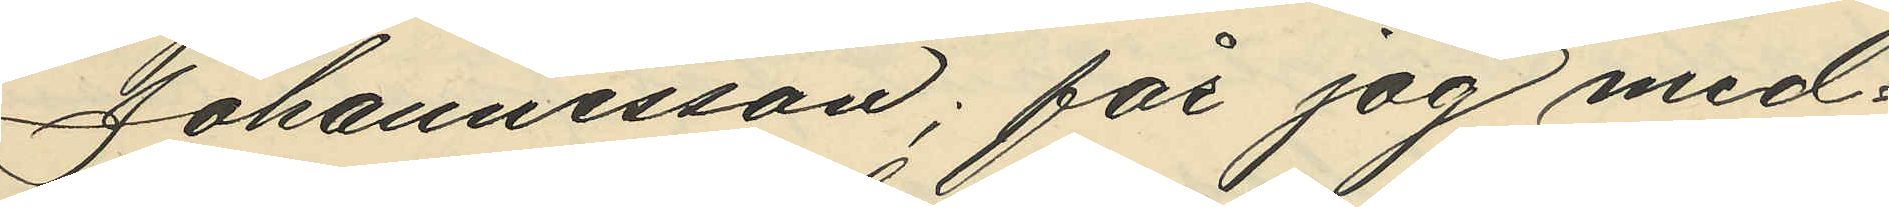Johannesson; får jag med¬
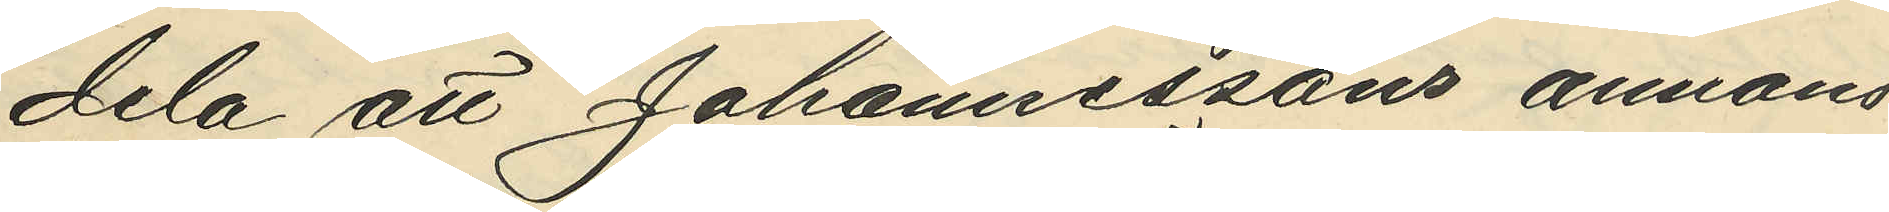dela att Johannessons annons
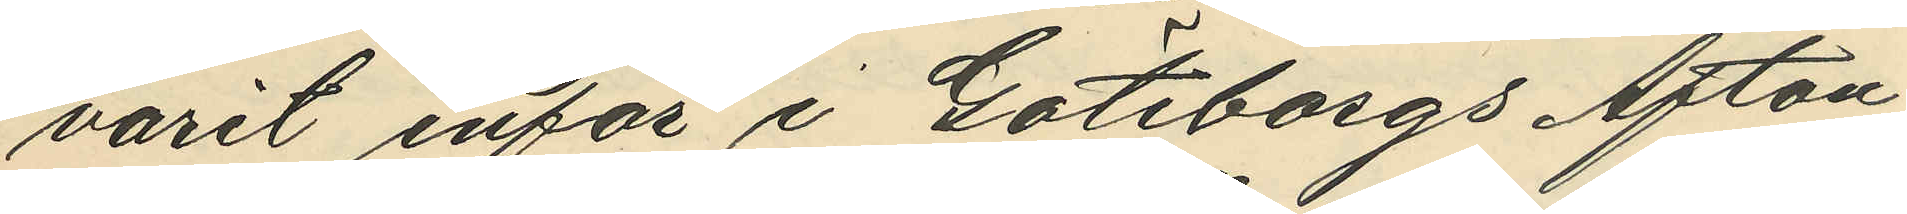varit inför i Göteborgs Afton¬
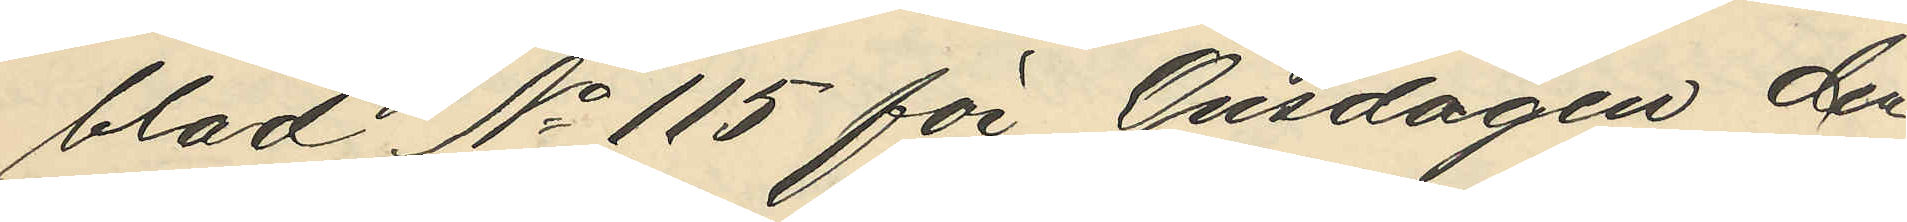blad No 115 för Onsdagen den
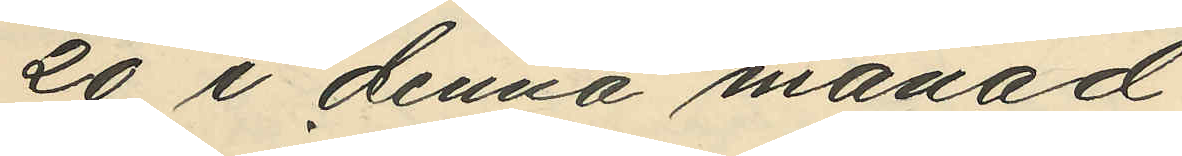20 i denna månad.
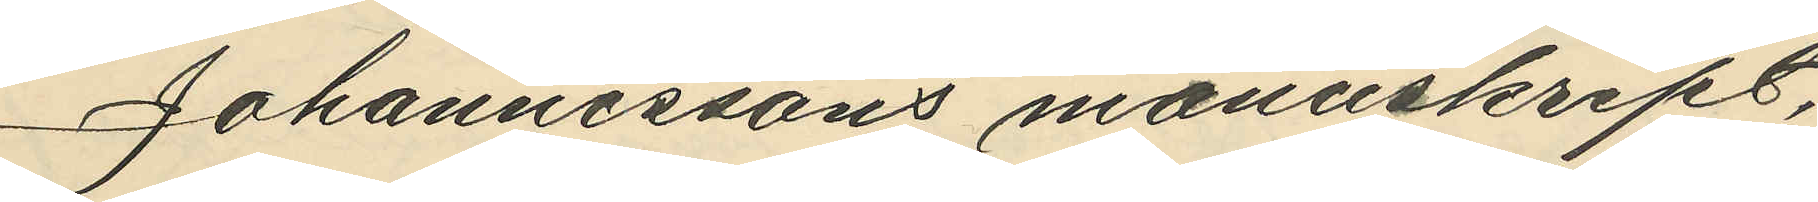Johannessons manuskript,
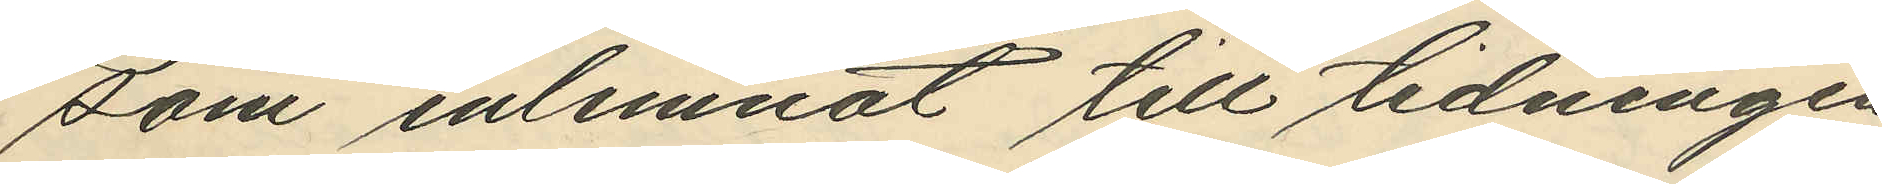som inlemnat till tidningen
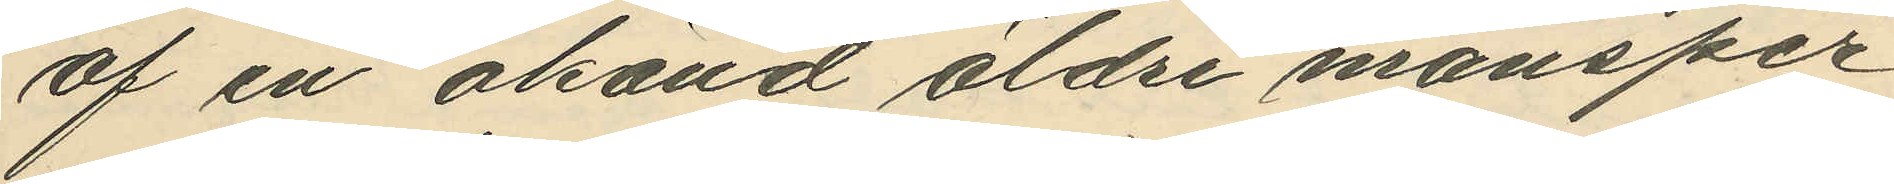af en okänd äldre mansper¬
